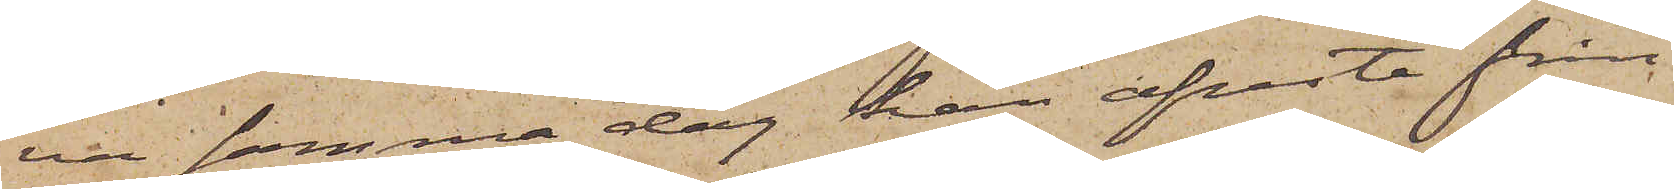va samma dag han afreste från
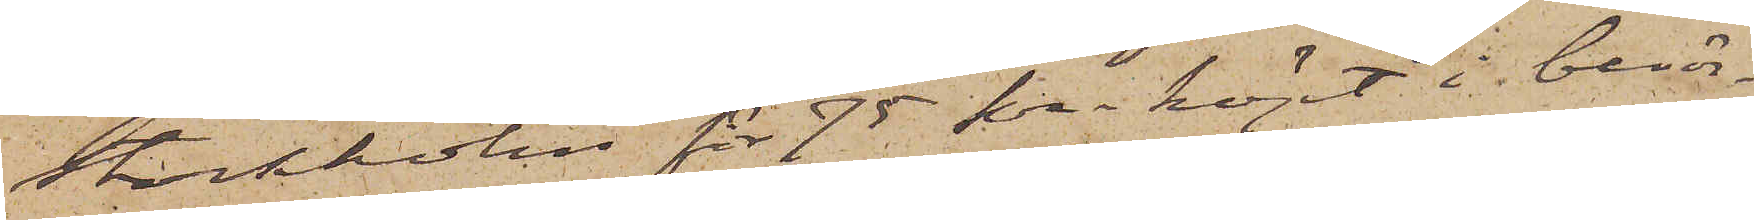Stockholm för 75 kr köpt i berör¬
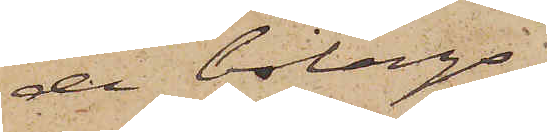de bolags
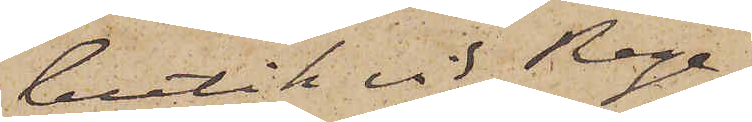butik vid Rege¬
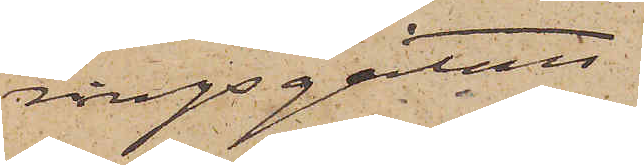ringsgatan.
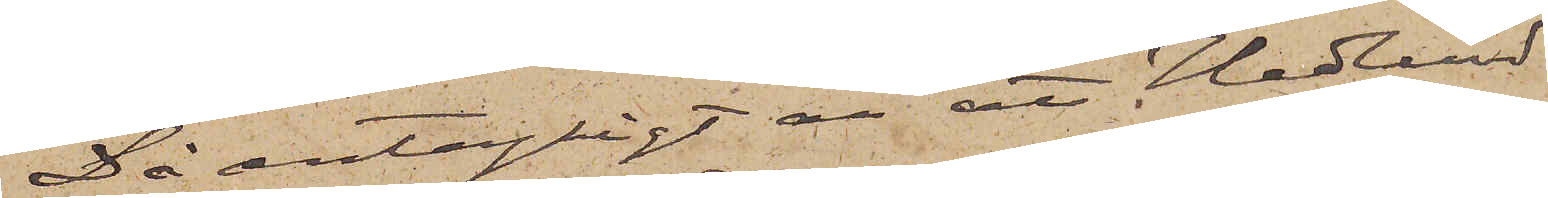Då antagligt är att Hedlund
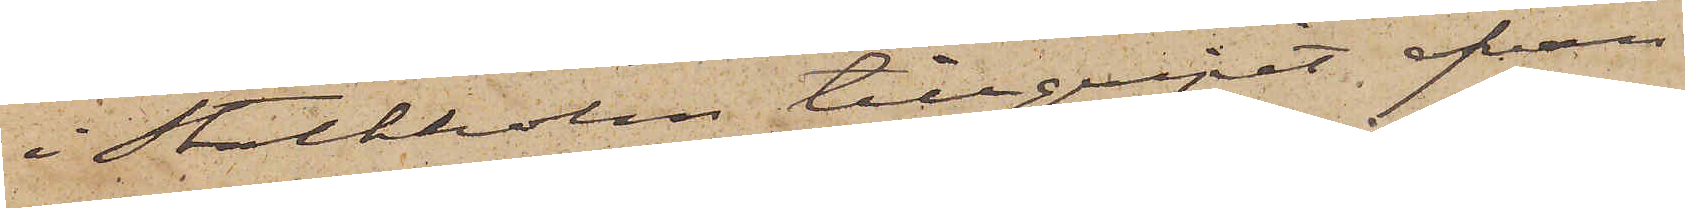i Stockholm tillgripit ofvan
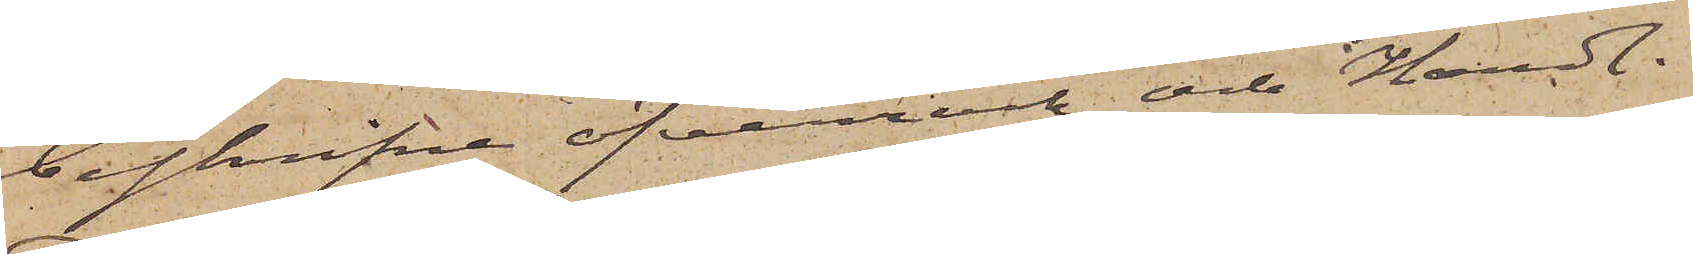beskrifna öfverrock och Handl.
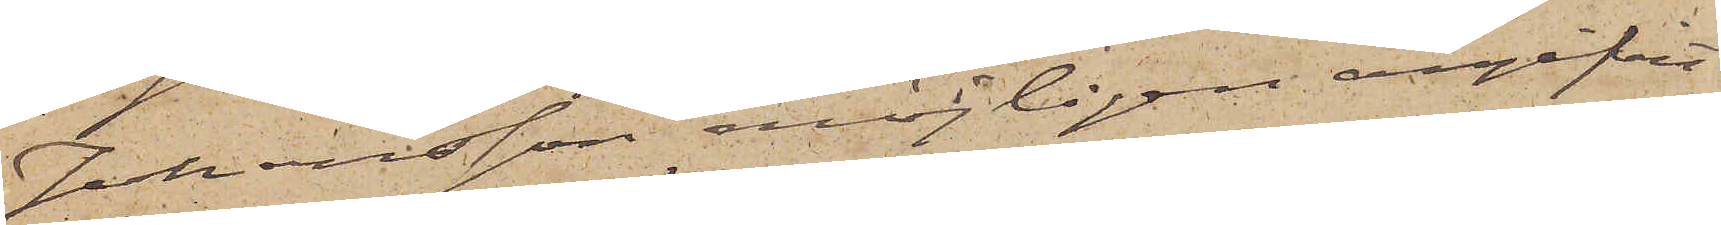Johansson möjligen angifvit
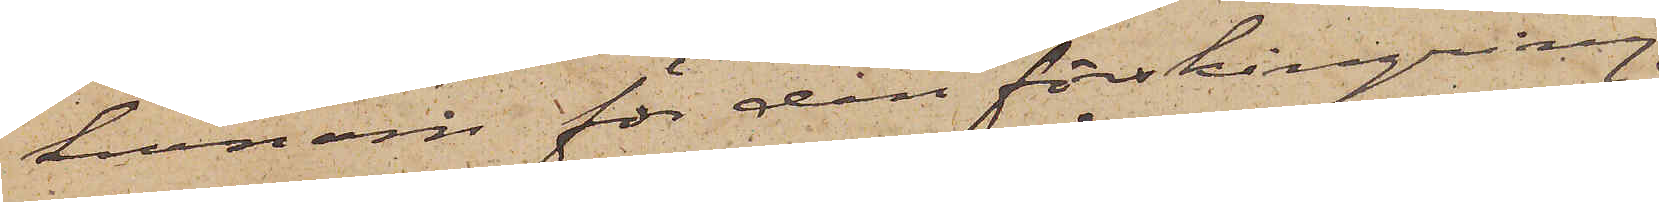honom för den förskingring
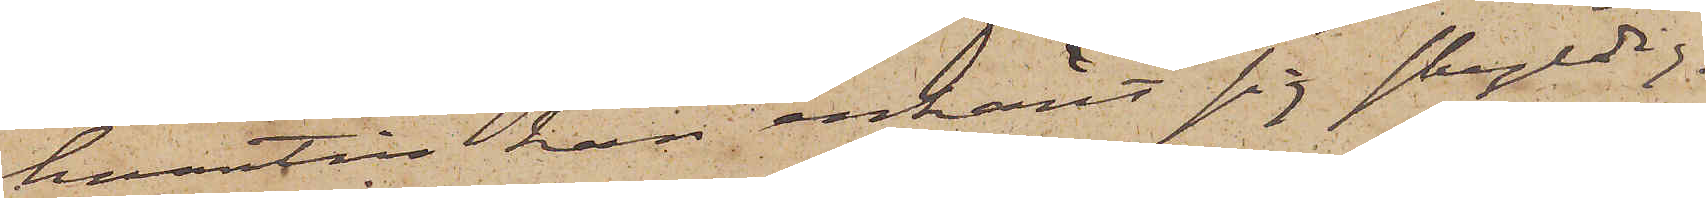hvartill han erkänt sig skyldig,
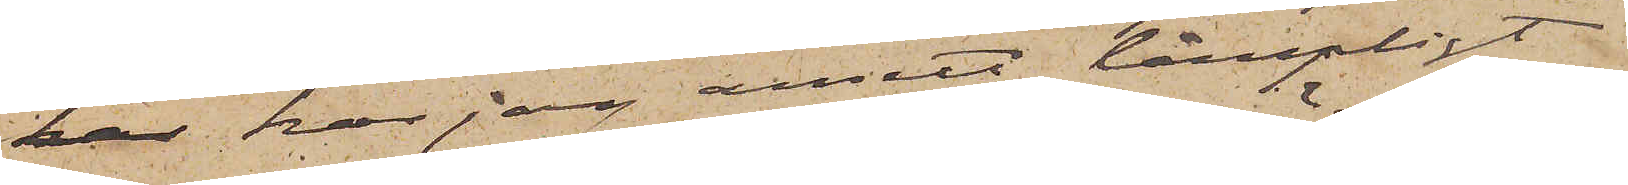har har jag ansett lämpligt
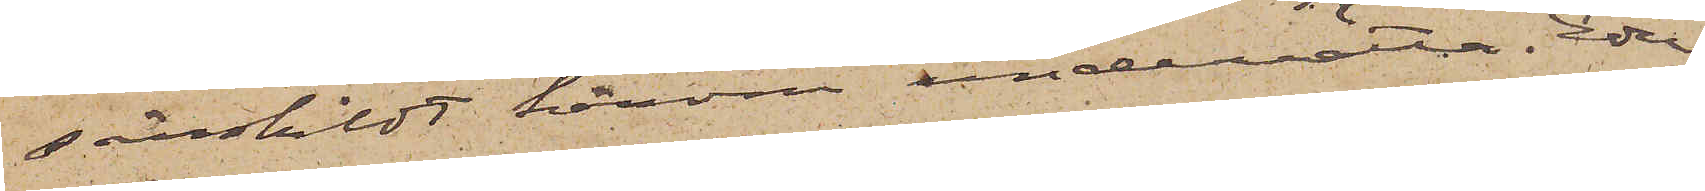särskildt härom underrätta Eder
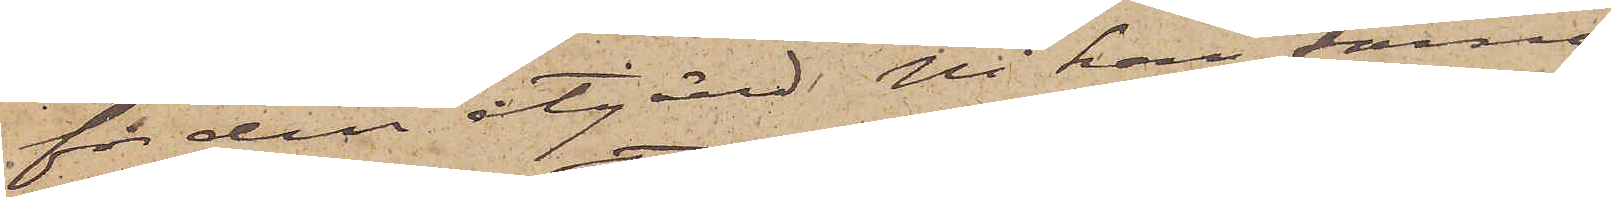för den åtgärd Ni kan finna
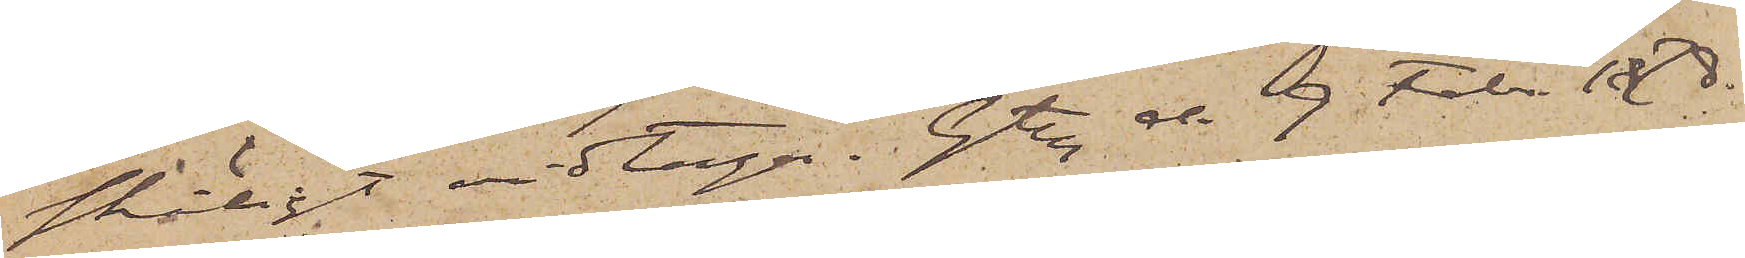skäligt vidtaga. Gtbg d. 9. Febr. 1878.
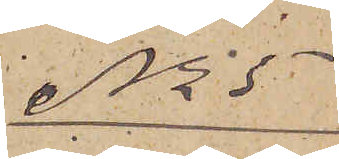No 5
